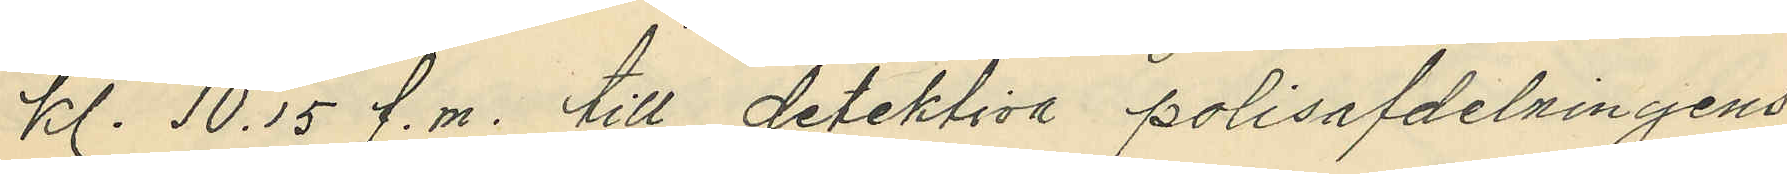kl. 10,15 f.m. till detektiva polisafdelningens
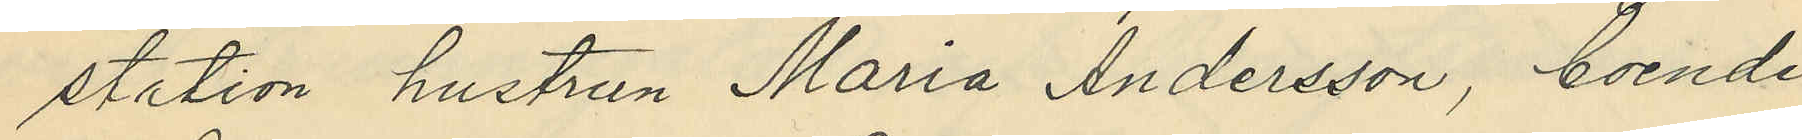station hustrun Maria Andersson, boende
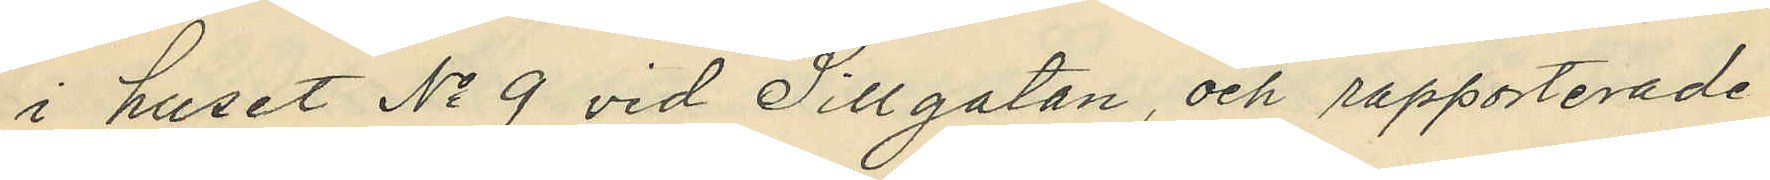i huset No 9 vid Sillgatan, och rapporterade
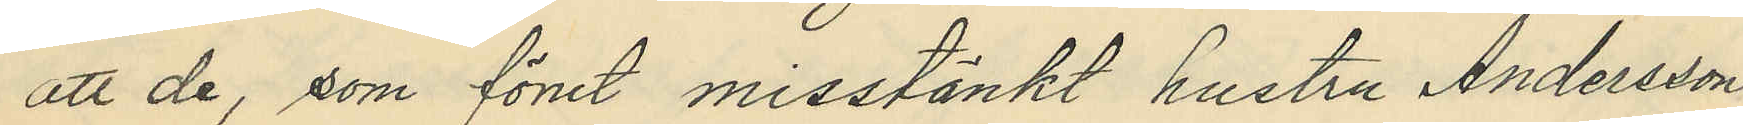att de, som förut misstänkt hustru Andersson
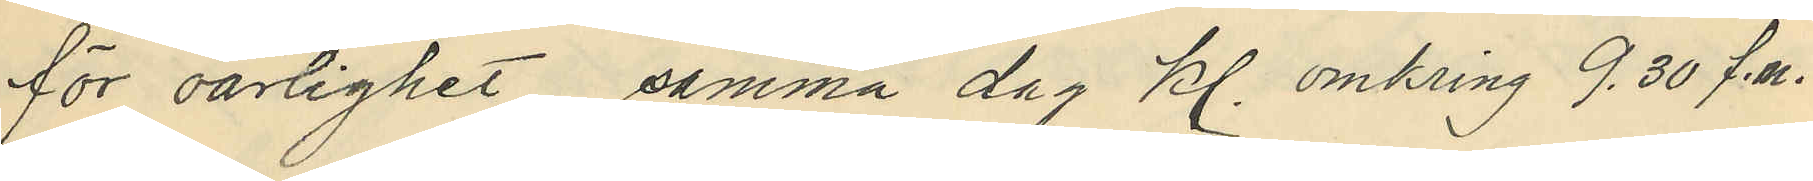för oärlighet samma dag kl. omkring 9.30 f.m.
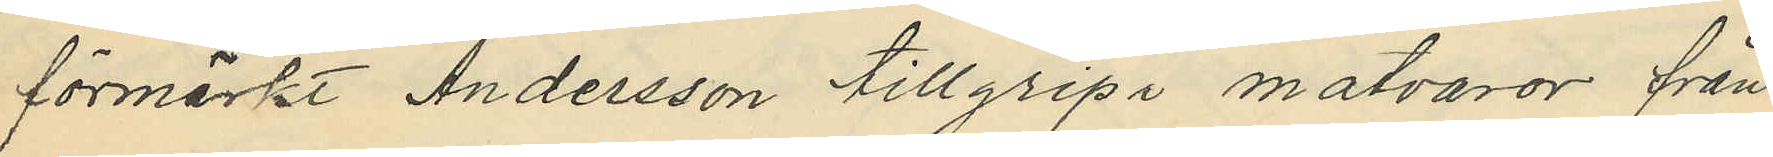förmärkt Andersson tillgripa matvaror från
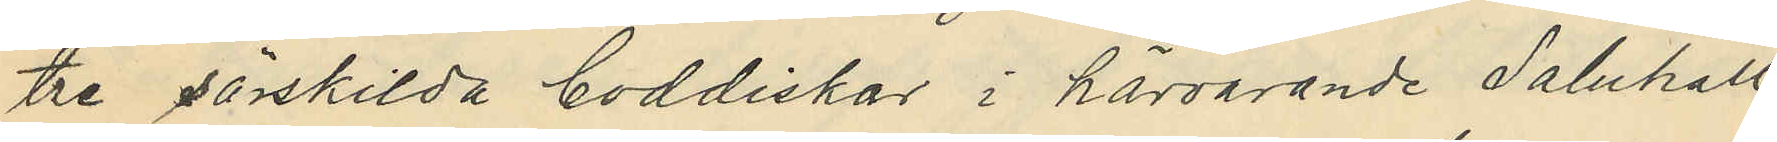tre särskilda boddiskar i härvarande Saluhall
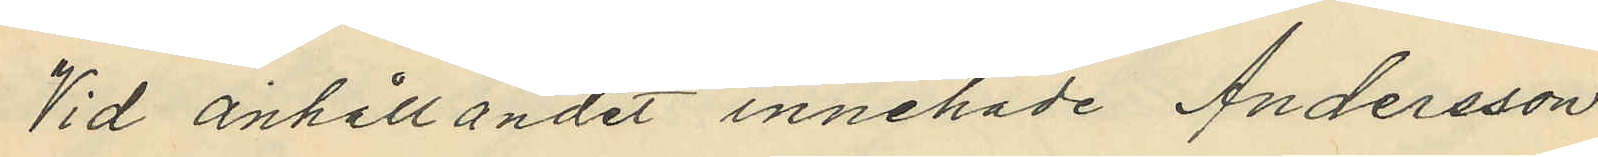Vid anhållandet innehade Andersson
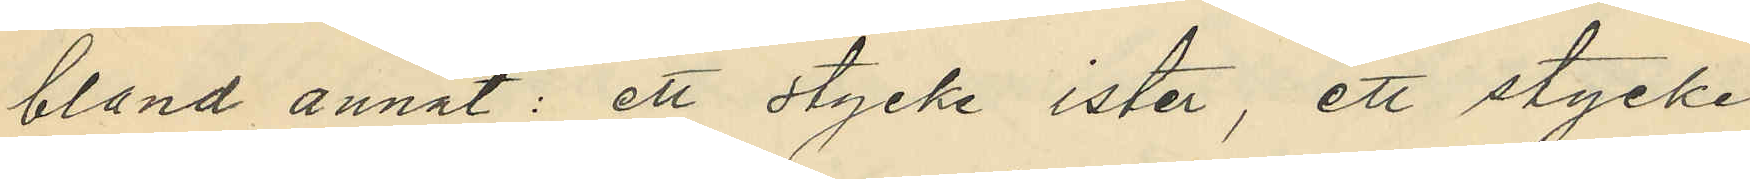bland annat: ett stycke ister, ett stycke
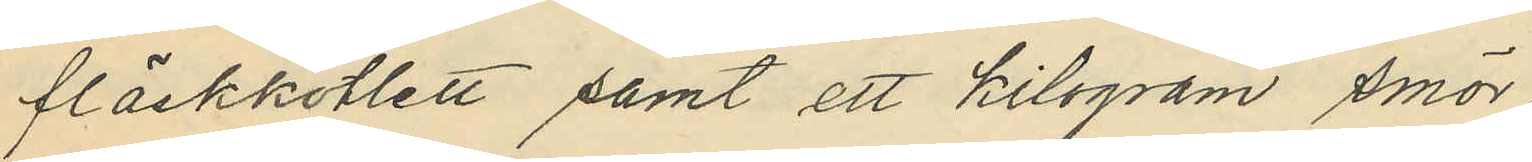fläskkotlett samt ett kilogram smör
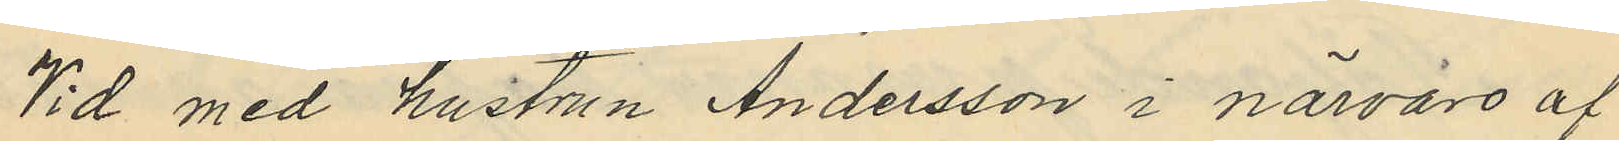Vid med hustrun Andersson i närvaro af
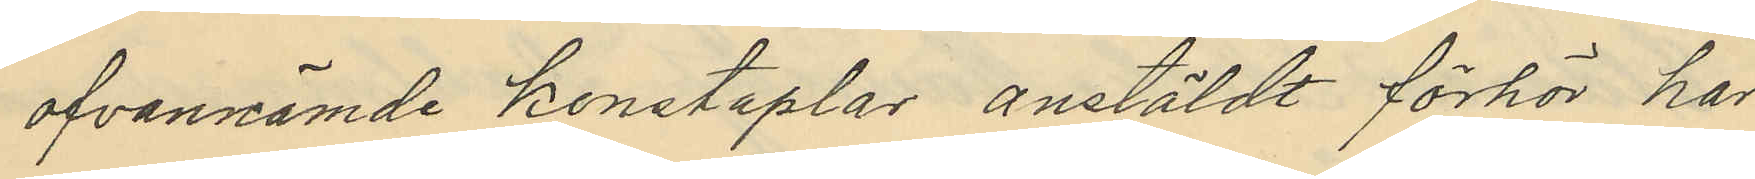ofvannämde konstaplar anstäldt förhör har
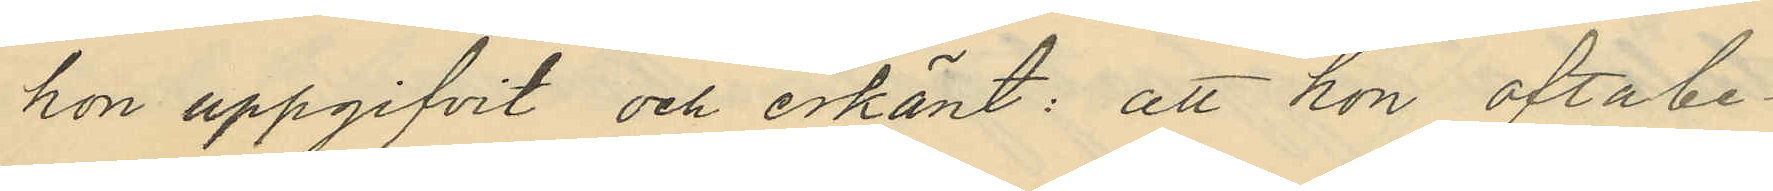hon uppgifvit och erkänt: att hon oftabe¬
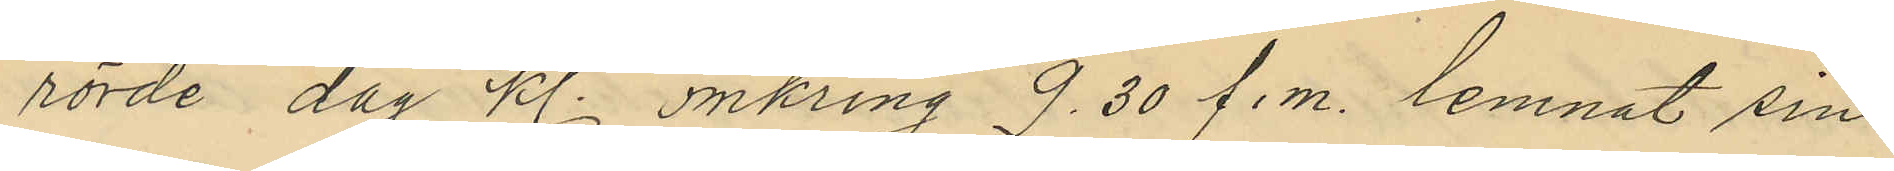rörde dag kl. omkring 9.30 f.m. lemnat sin
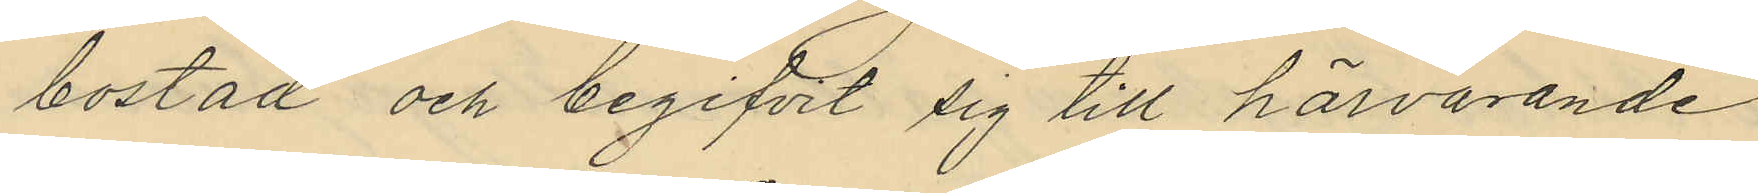bostad och begifvit sig till härvarande
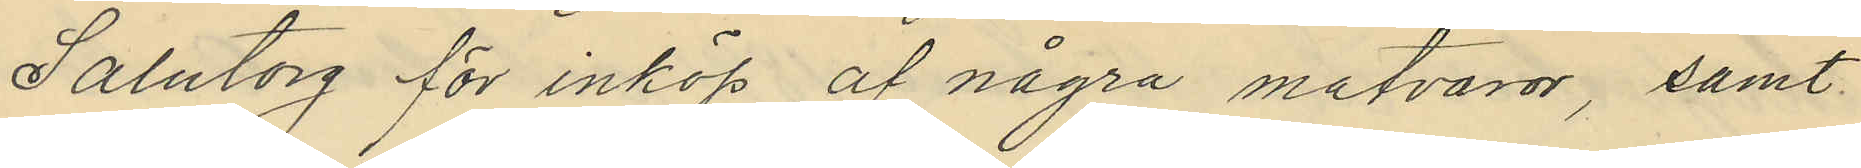Salutorg för inköp af några matvaror, samt
